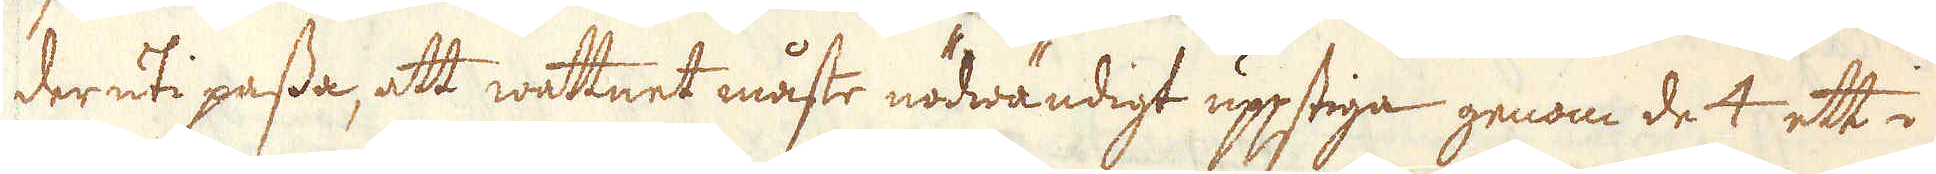deruti passa, att wattnet måsto nödwändigt uppstiga genom det att i
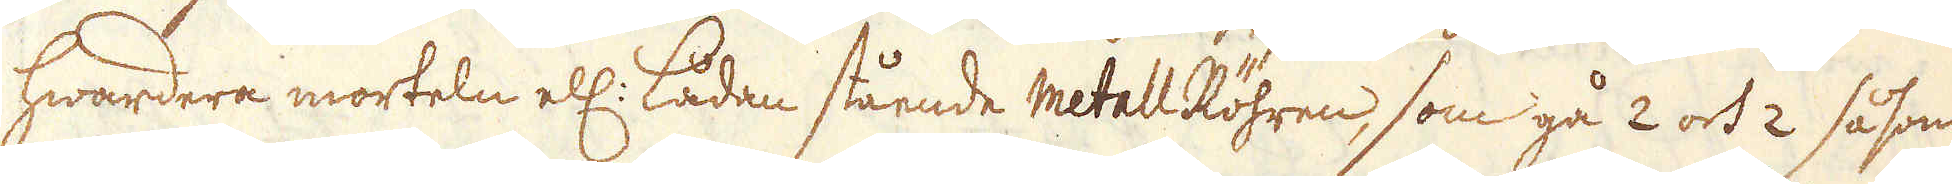hwardera morteln ell: lådan stående metall Röhren, som gå 2 och 2 såsom
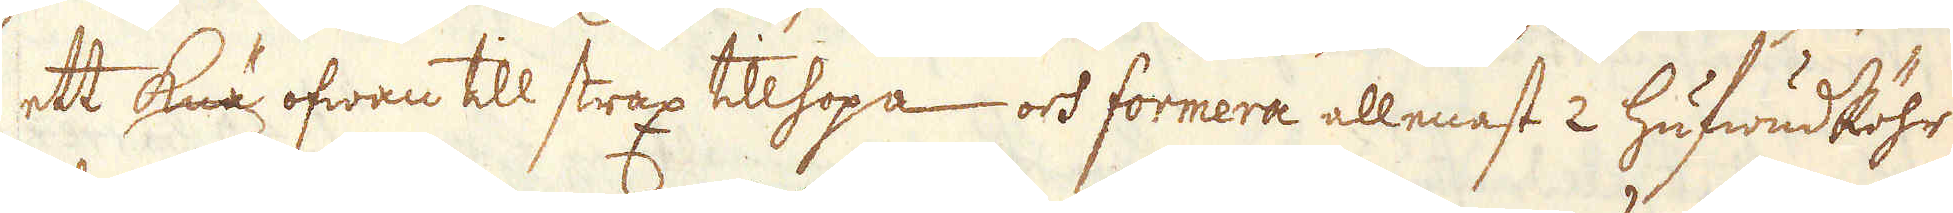ett knä ofwan till strax tillhopa och formera allenast 2 hufwudRöhr
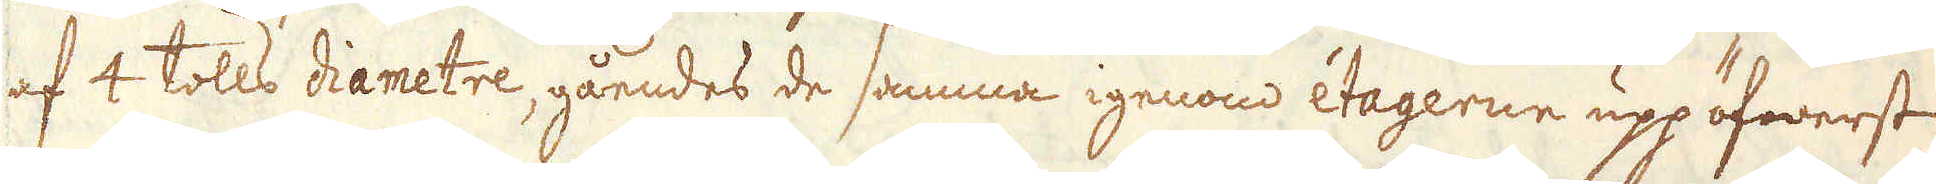af 4 tolls diametre, gåendes de samma igenom éetagerne up pöfwerst
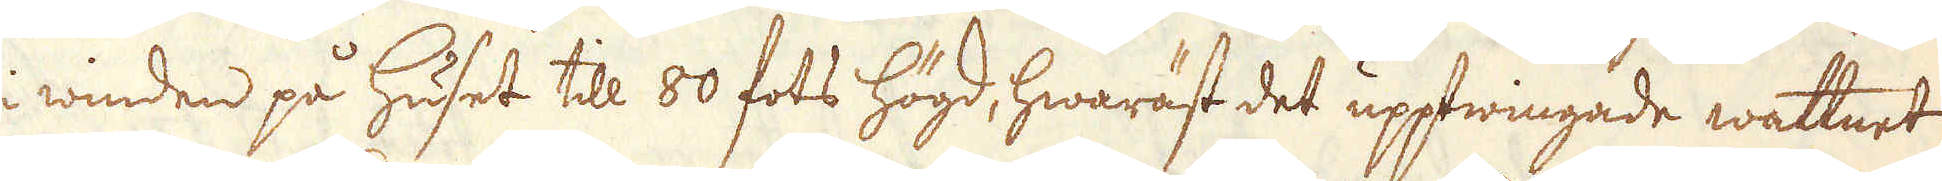i winden på huset till 80 fots högd, hwaräst det upptwingade wattnet
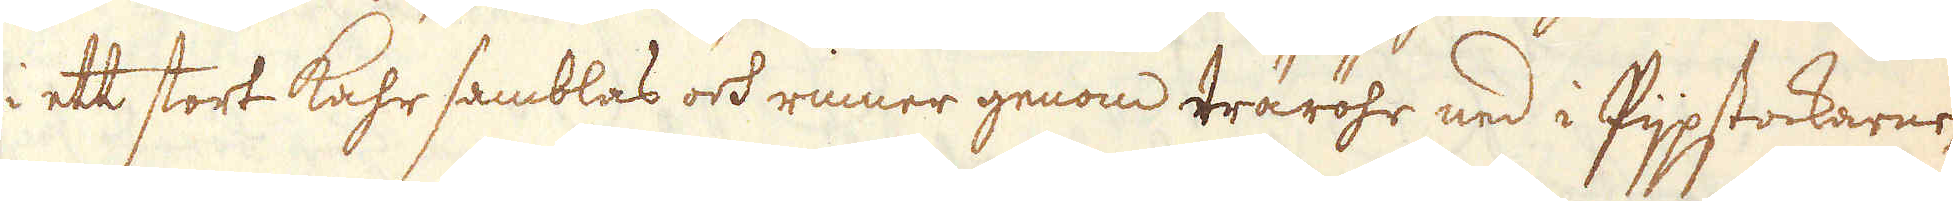i ett stort kahr samblas och rinner genom träröhr ned i Pijpstockarne,
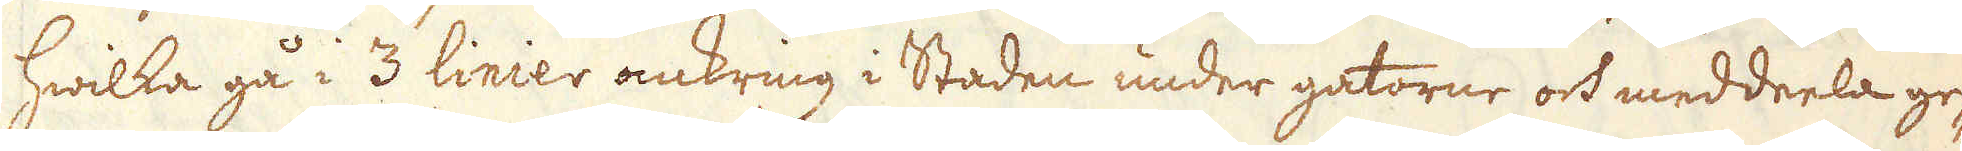hwilka gå i 3 linier omkring i Staden under gatorne och meddeela ge-
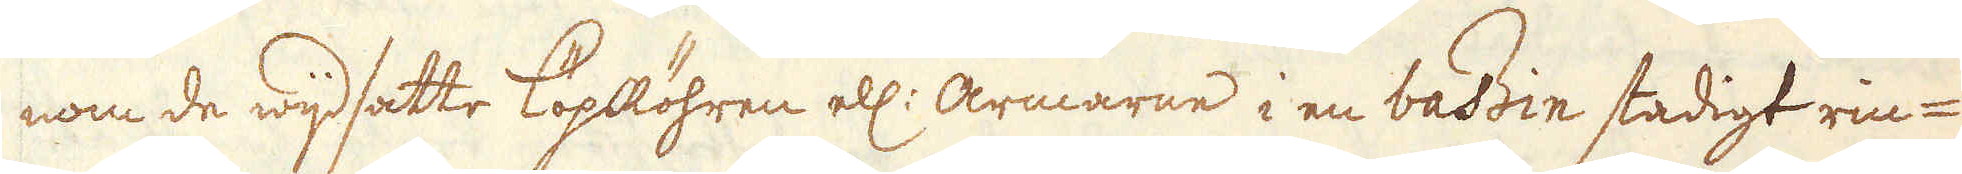nom de wijdsatte löpRöhren ell:r armarne i en bassin stadigt rin-
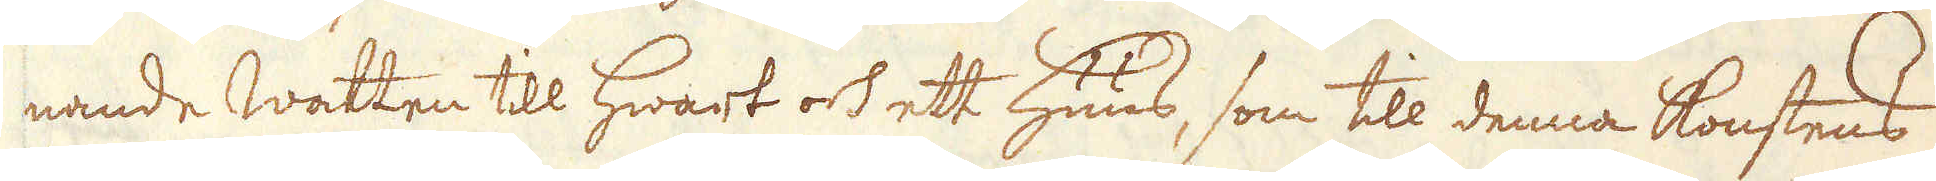nande Watten till hwart och ett huus, som till denna konstens
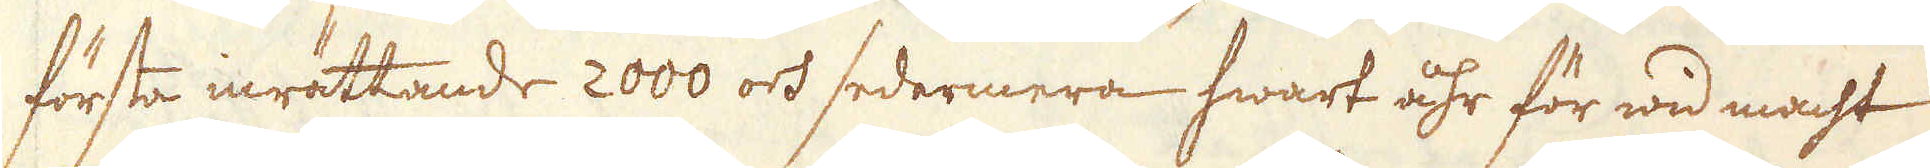första inrättande 2000 och sedermera hwart åhr för wid macht
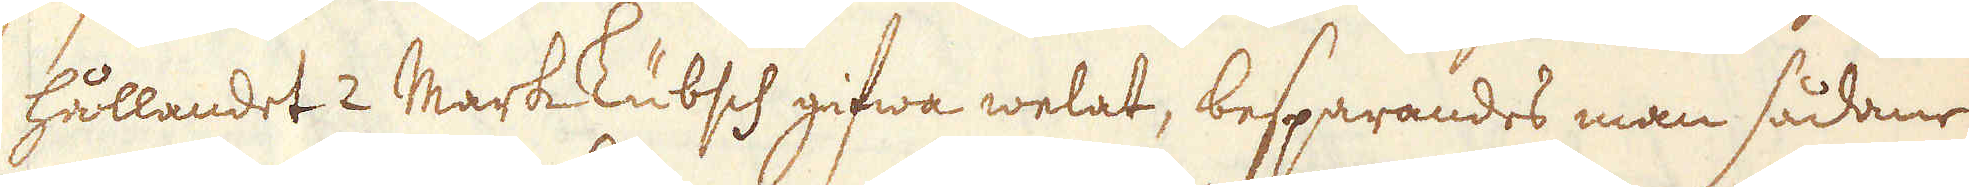hållandet 2 Markkubsch gifwa welat, besparandes man sådane
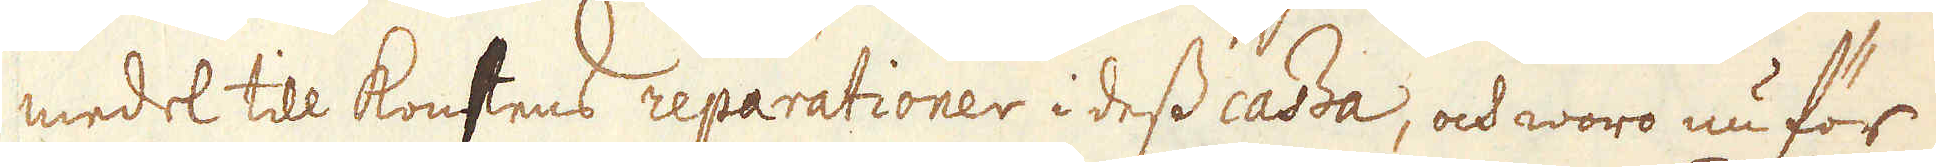medel till konstens reparationer i dess cassa, och woro nu för
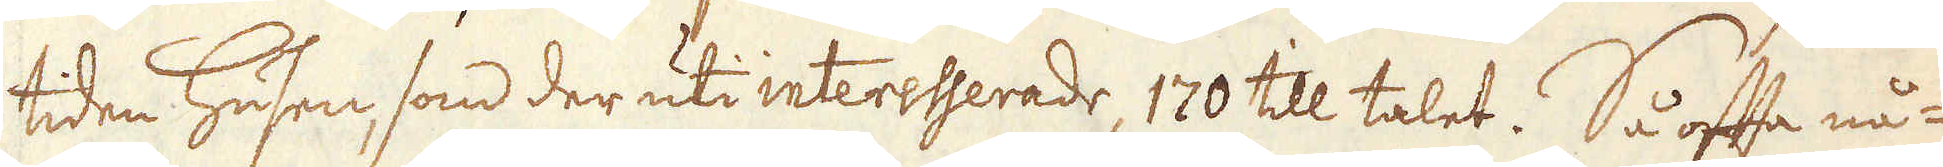tiden husen, som der uti interesserade 170 till talet. Så ofta nå-
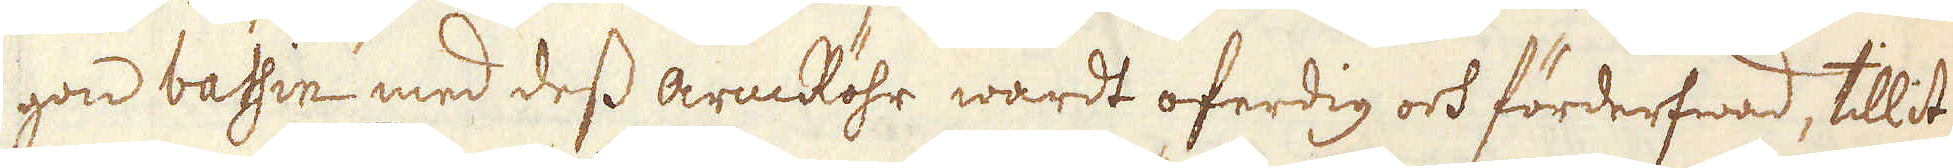gon bassin med dess armRöhr wardt oferdig och förderfwad, tillit-
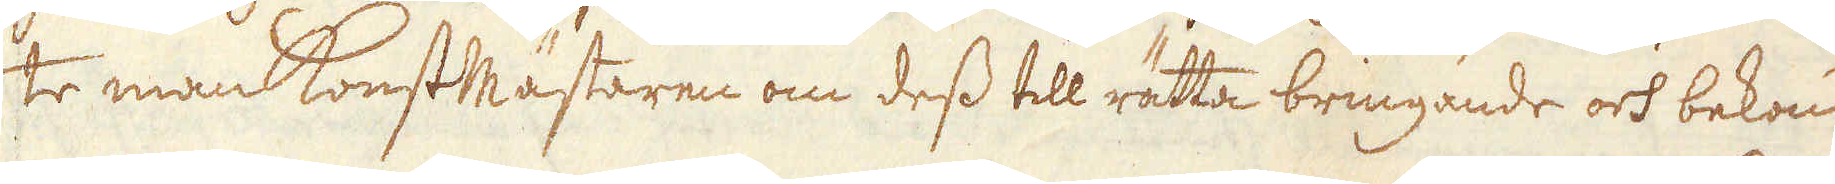te man konstmästaren om dess till rätta bringande och bekom
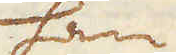han
